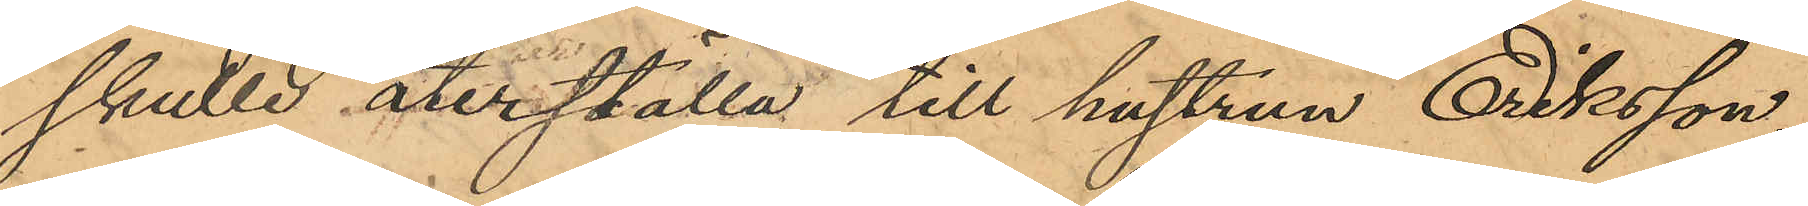skulle återställa till hustrun Eriksson,
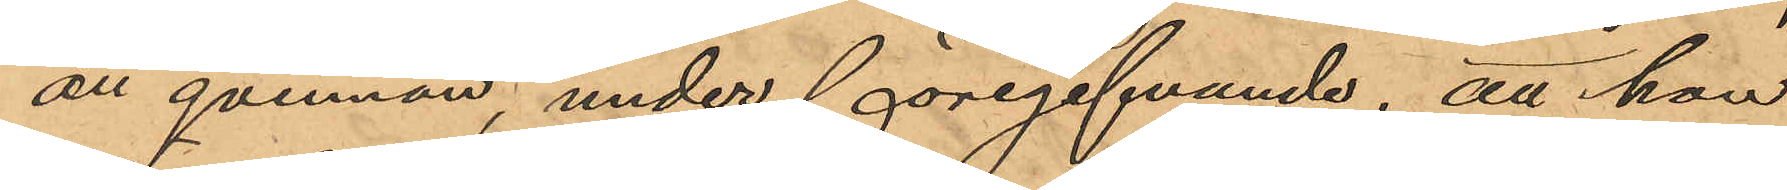att qvinnan, under föregifvande, att hon
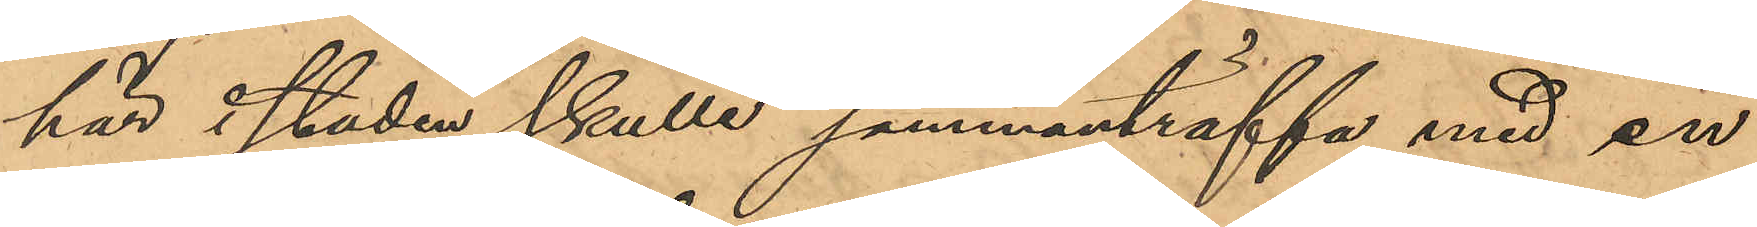här i staden skulle sammanträffa med en
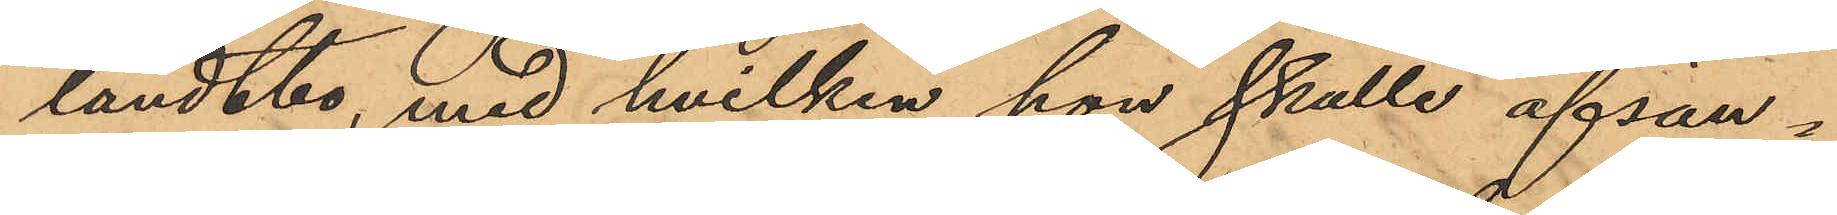landtbo, med hvilken hon skulle afsän¬
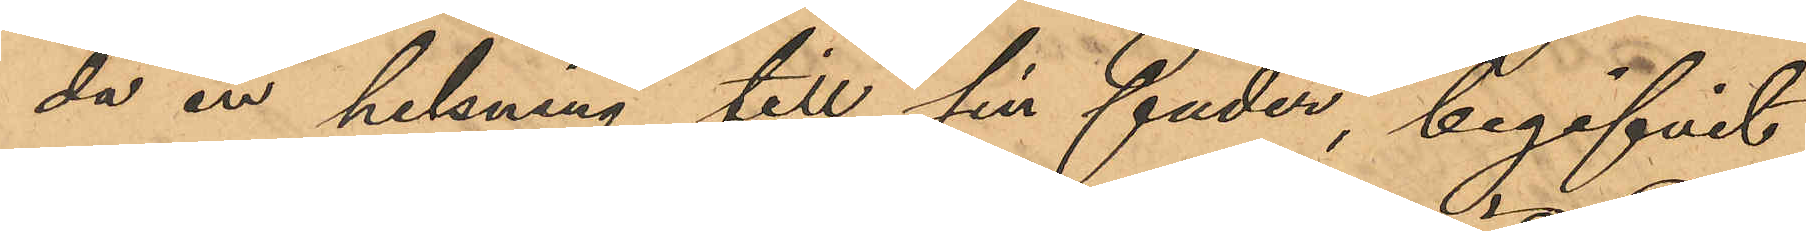da en helsning till sin fader, begifvit
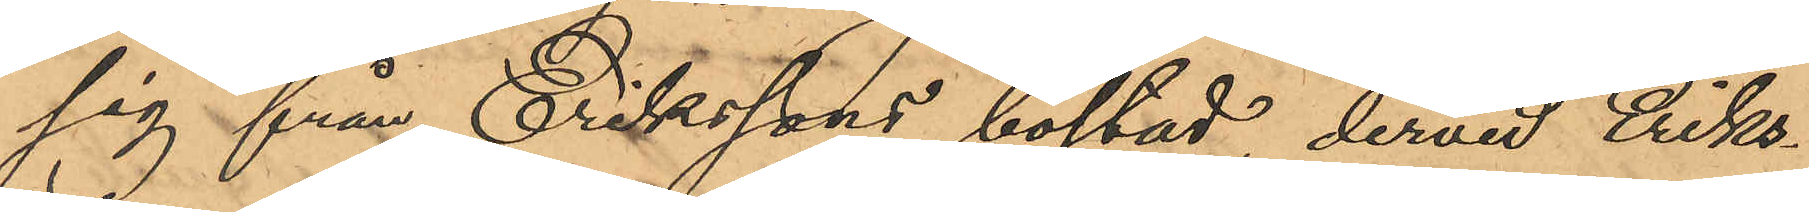sig från Erikssons bostad, dervid Eriks¬
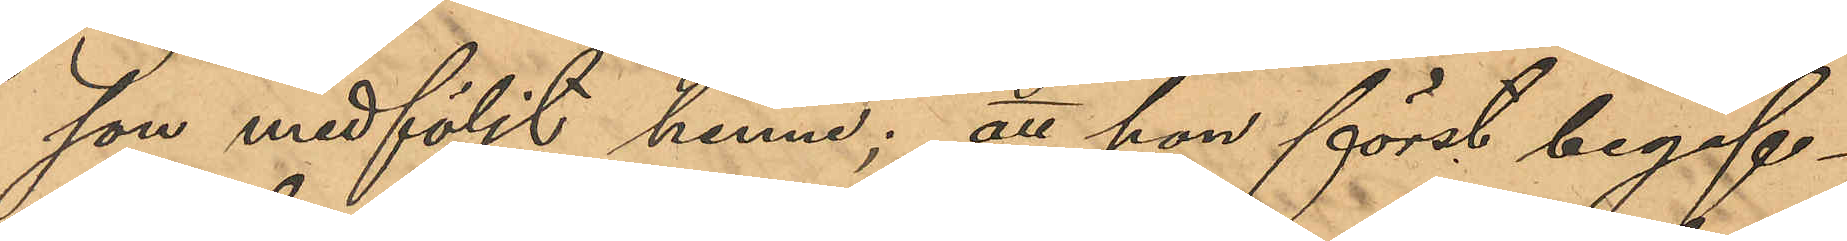son medföljt henne; att hon först begif¬
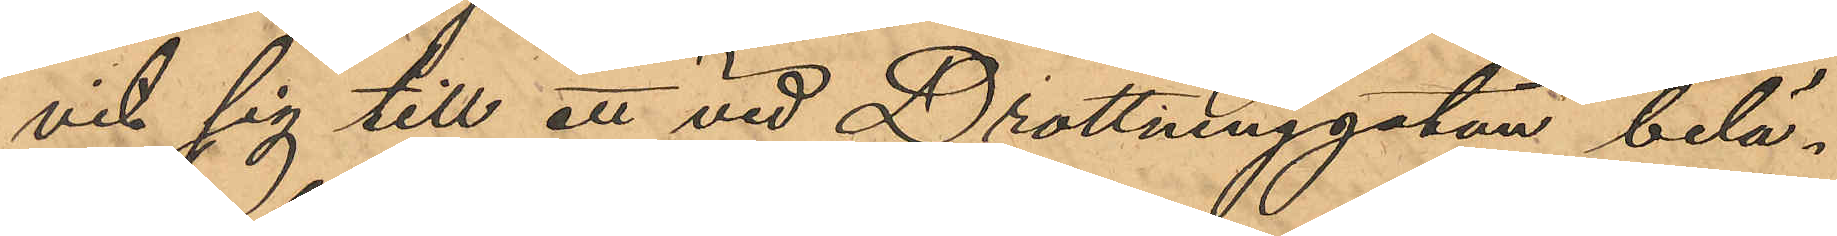vit sig till ett vid Drottninggatan belä¬
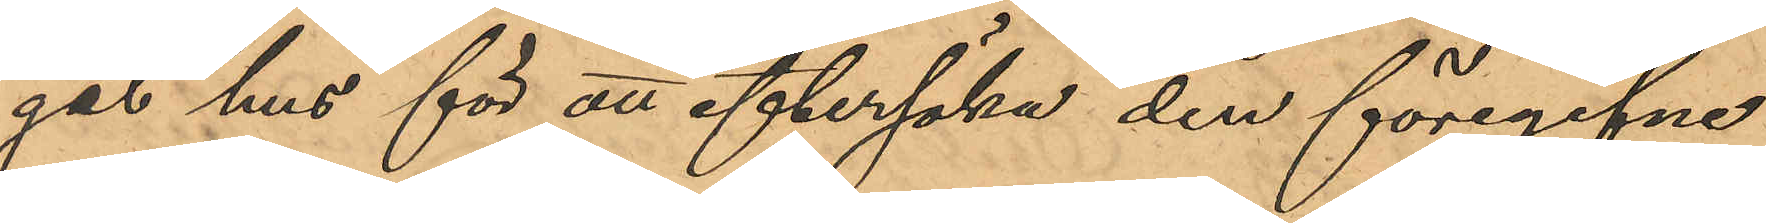get hus för att eftersöka den föregifne
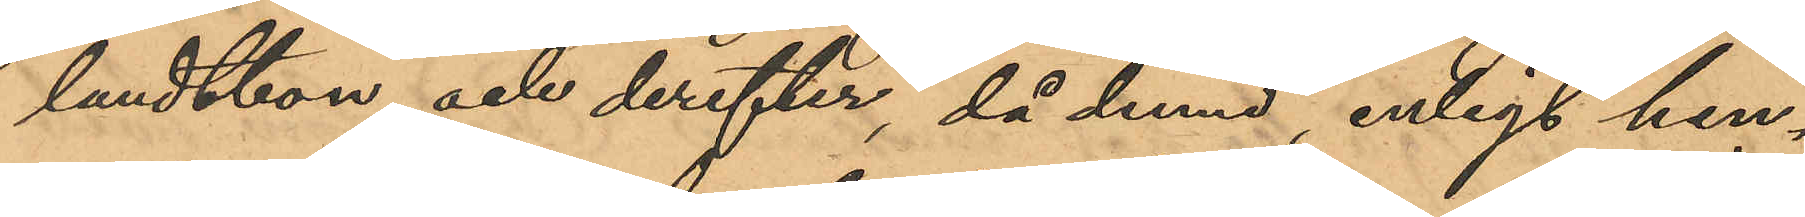landtbon och derefter, då denne, enligt hen¬
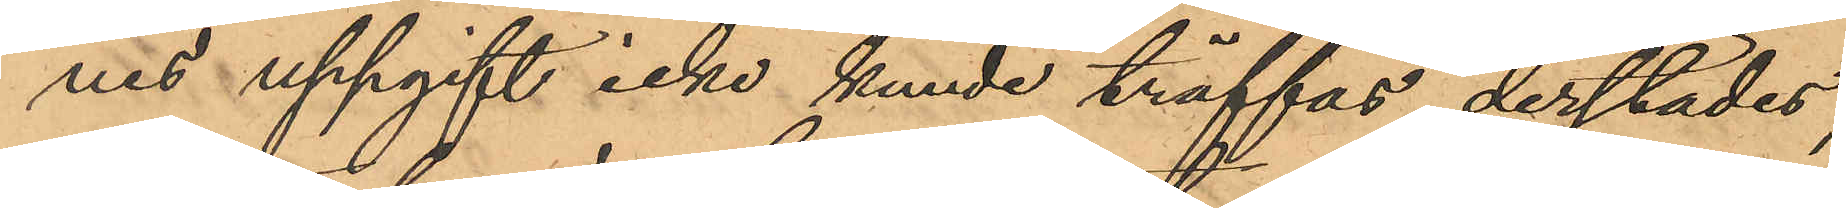nes uppgift icke kunde träffas derstädes,
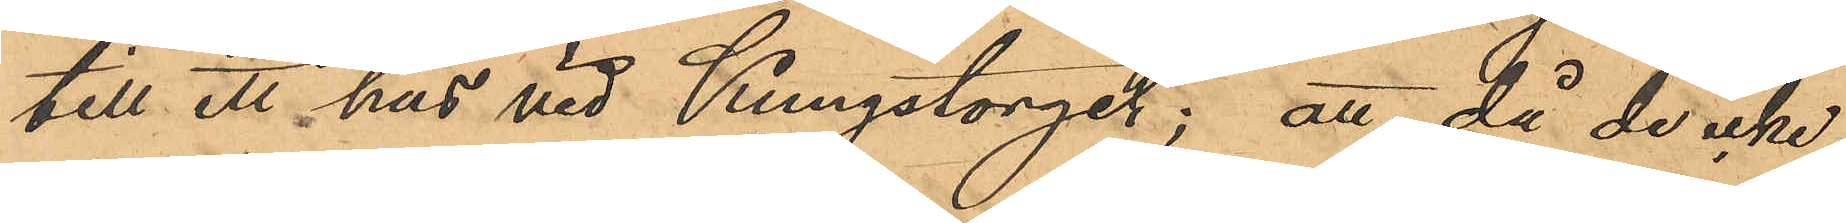till ett hus vid Kungstorget; att då de icke
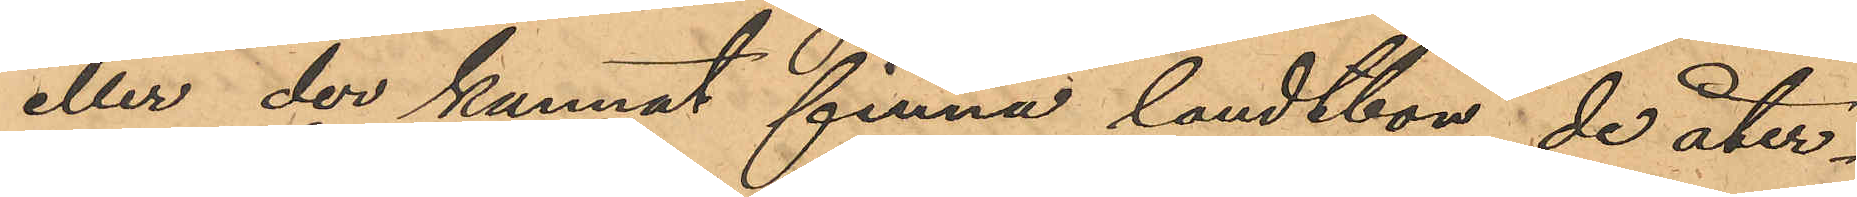eller der kunnat finna landtbon, de åter¬
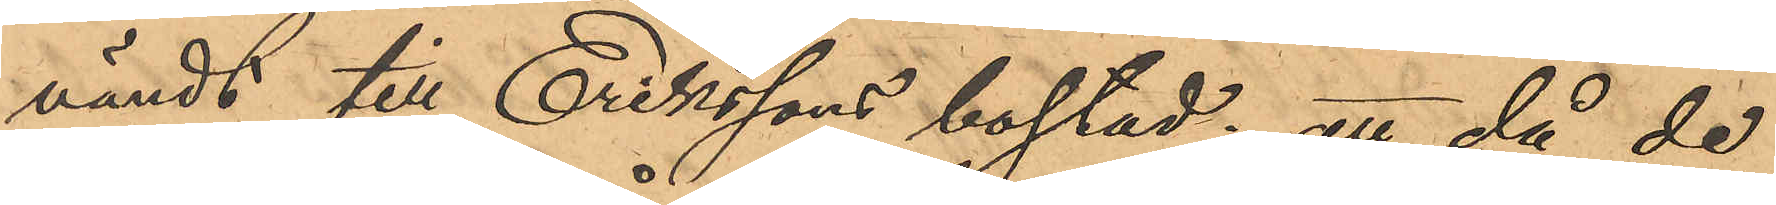vändt till Erikssons bostad; att då de
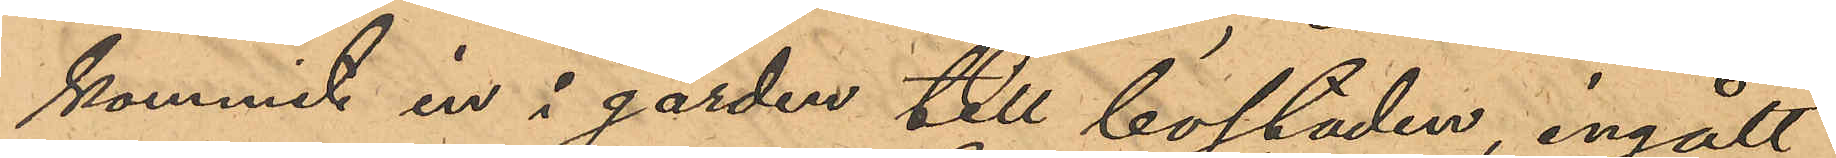kommit in i gården till bostaden, ingått
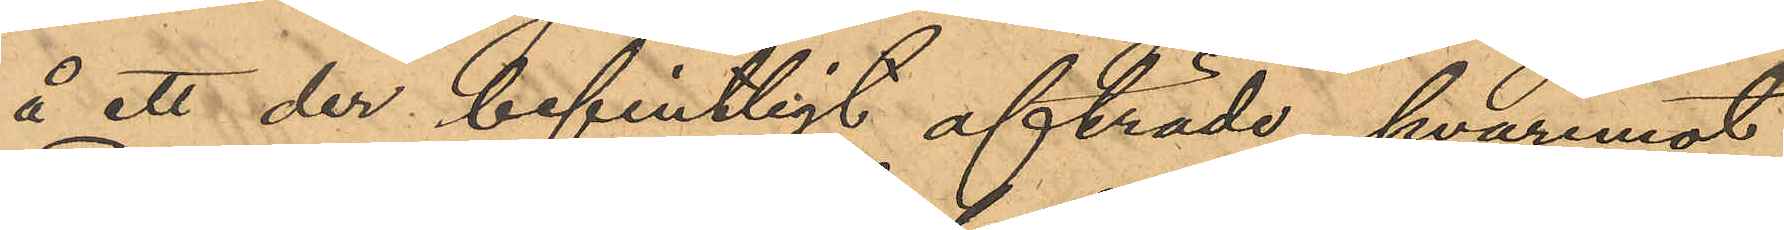å ett der befintligt afträde, hvaremot
